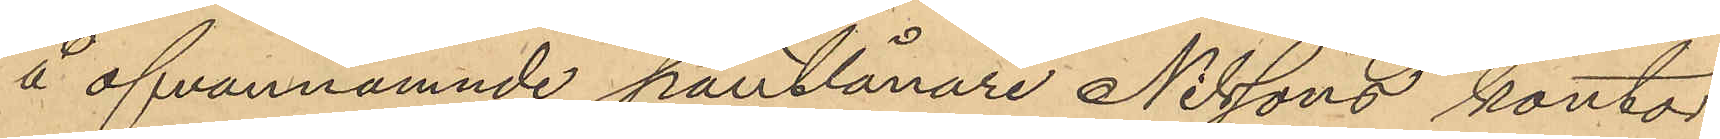å ofvannämnde pantlånare Nilssons kontor
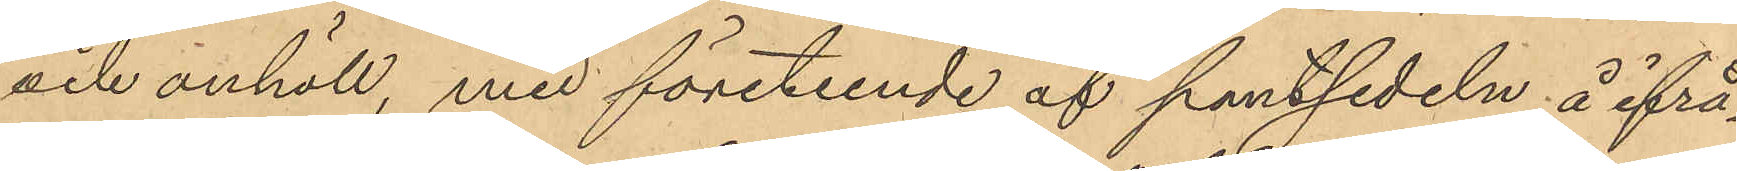och anhöll, med företeende af pantsedeln å ifrå¬
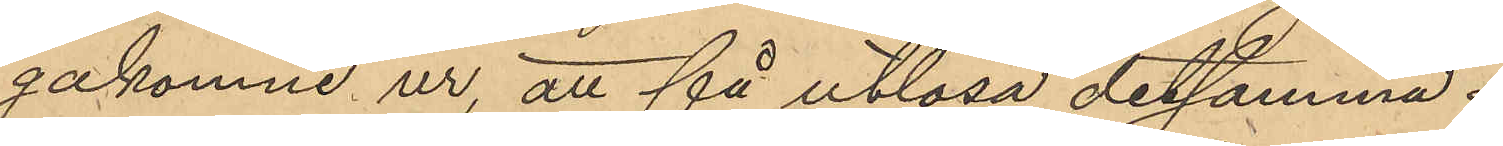gakomne ur, att få utlösa detsamma.
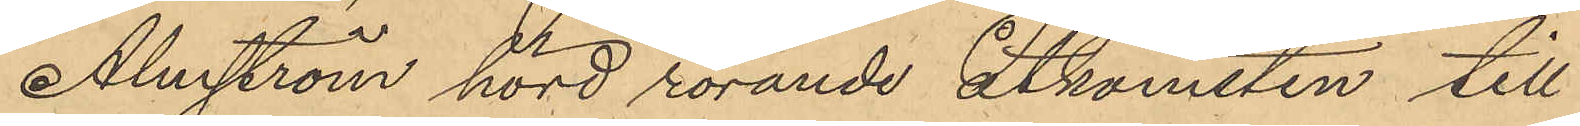Almström hörd rörande åtkomsten till
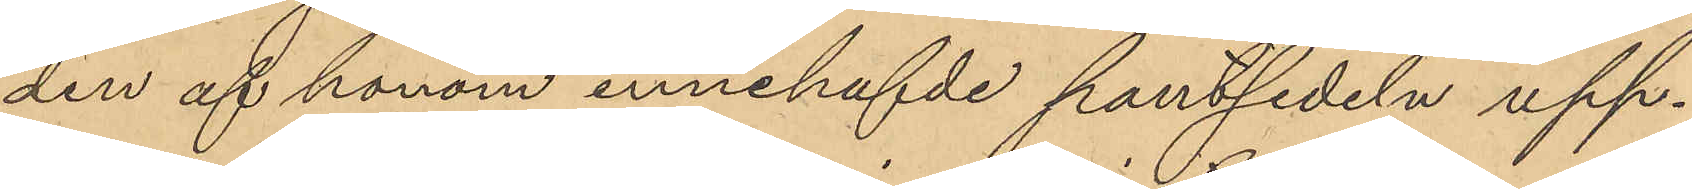den af honom innehafvde pantsedeln upp¬
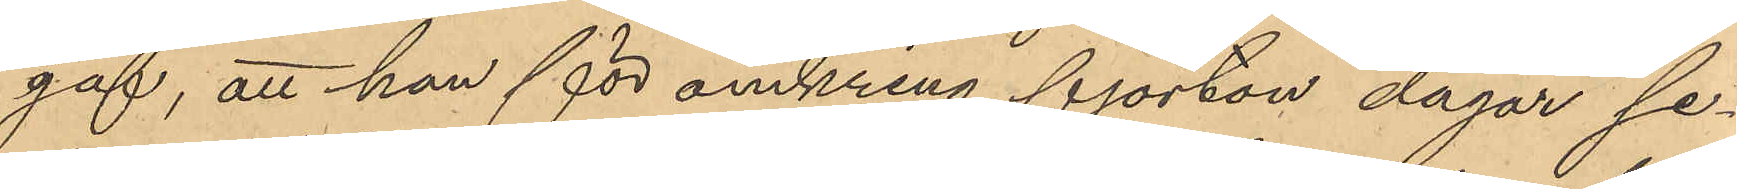gaf, att han för omkring fjorton dagar se¬
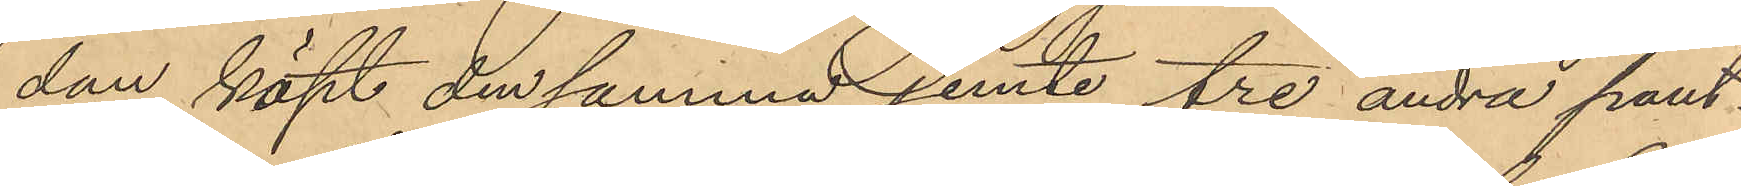dan köpt den samma jemte tre andra pant¬
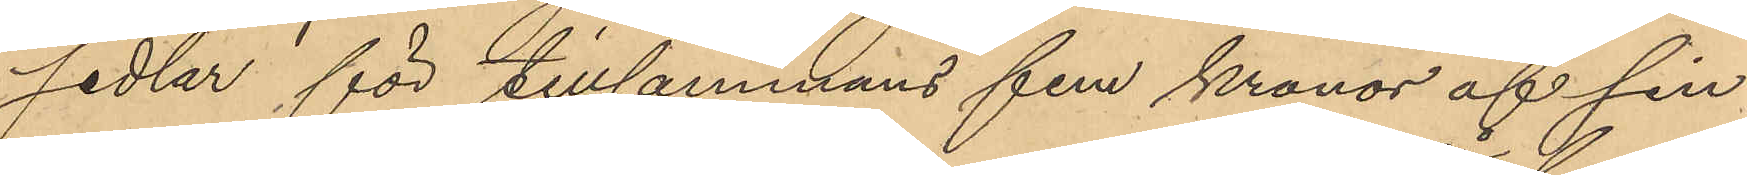sedlar för tillsammans fem kronor af sin 
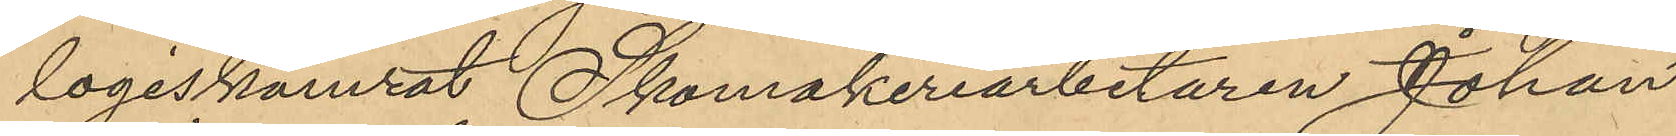logiskamrat Skomakeriarbetaren Johan
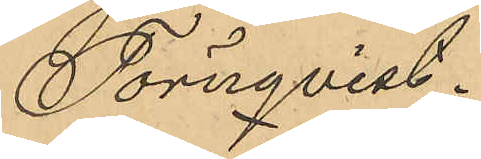Törnqvist.
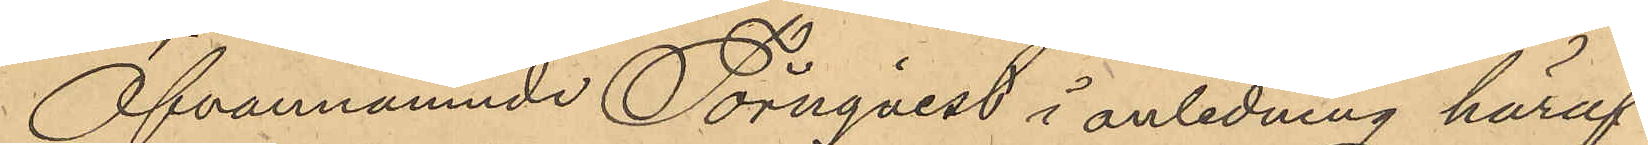Ofvannämnde Törnqvist i anledning häraf
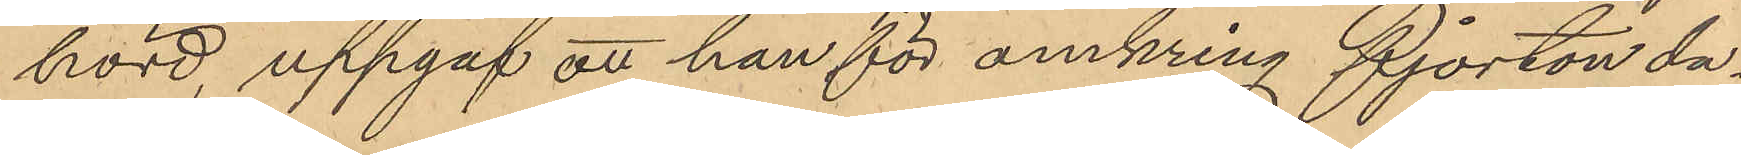hörd, uppgaf att han för omkring fjorton da¬
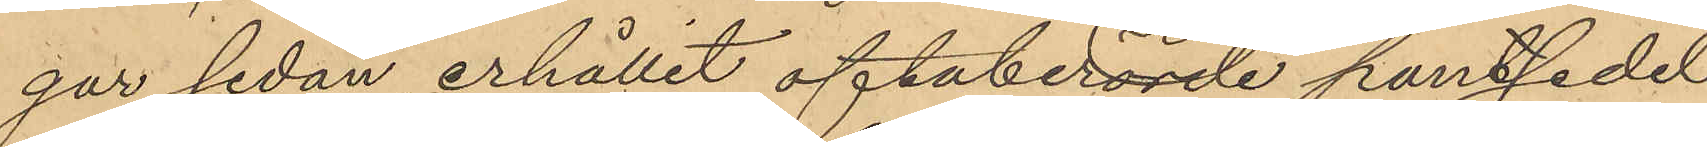gar sedan erhållit oftaberörde pantsedel
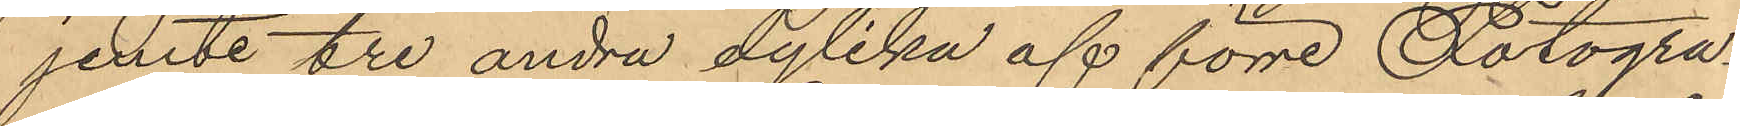jemte tre andra dylika af förre Fotogra¬
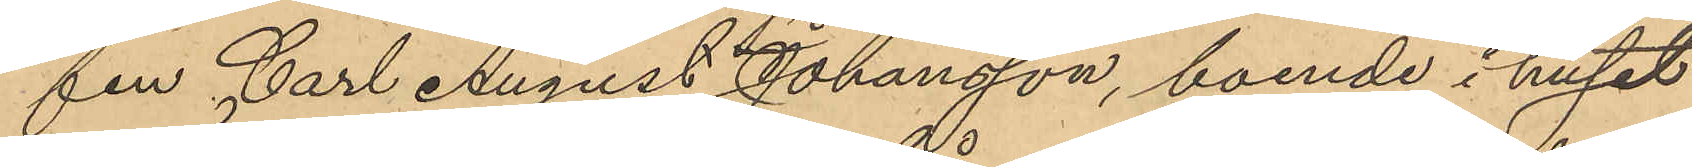fen Carl August Johansson, boende i huset
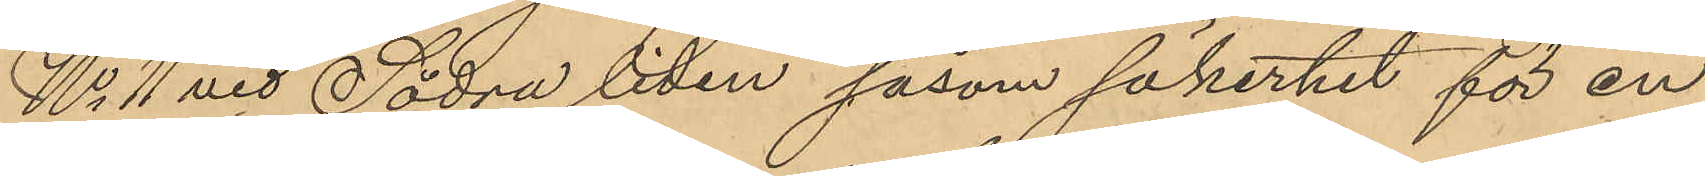No 11 vid Södra liden såsom säkerhet för en
